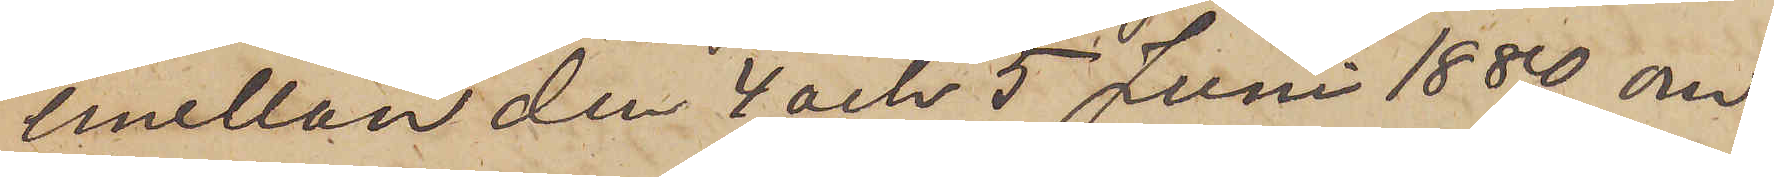emellan den 4 och 5 Juni 1880 om¬
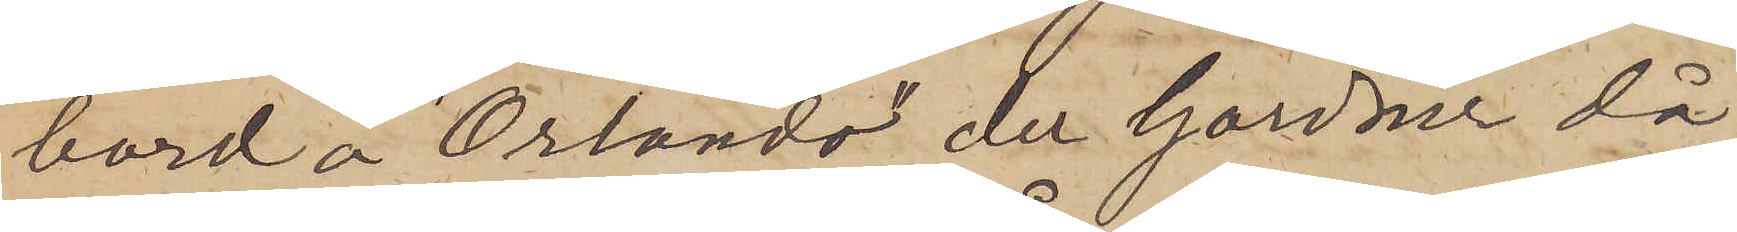bord å "Orlano", der Gardner då
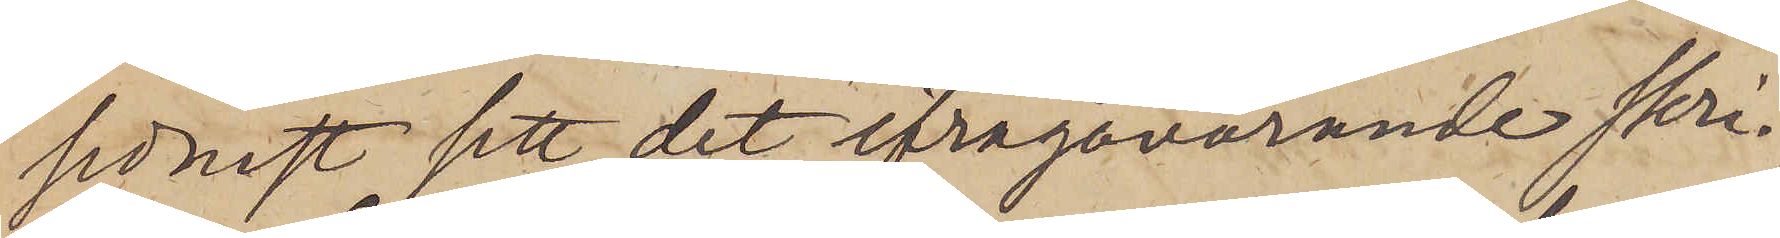senast sett det ifrågavarande skri¬
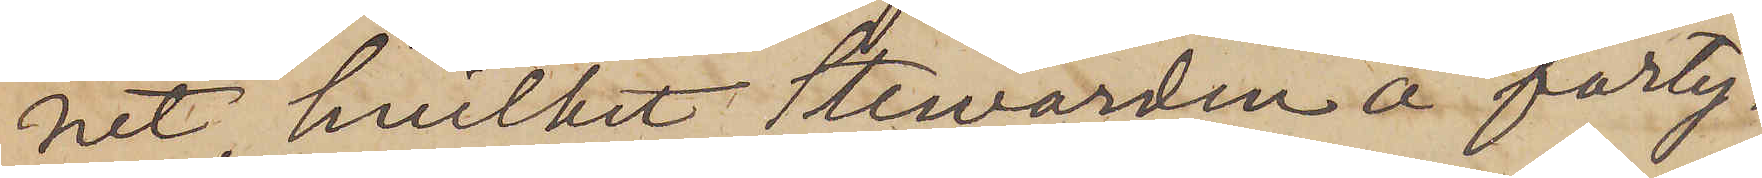net, hvilket stewarden å farty¬
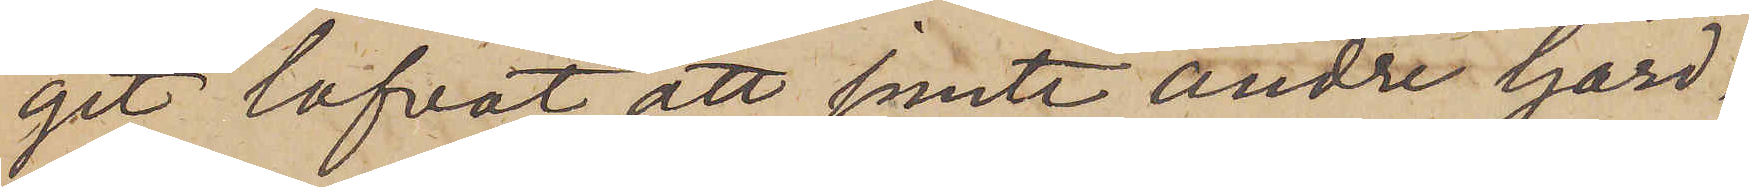get lofvat att jemte andre Gard¬
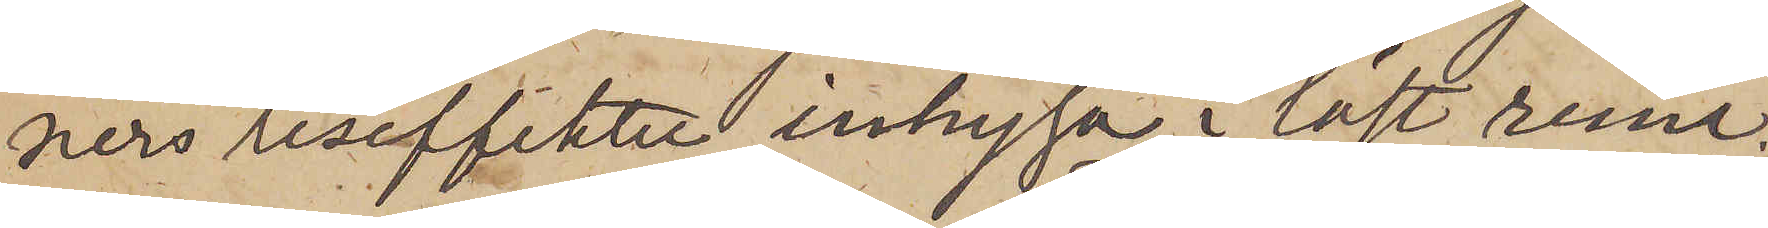ners reseffekter inhysa i låst rum;
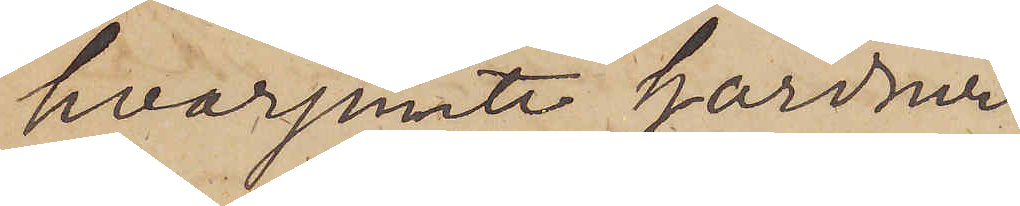hvarjemte Gardner
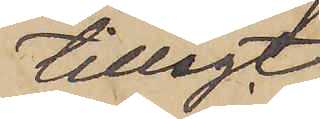tillagt,
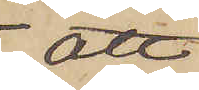att
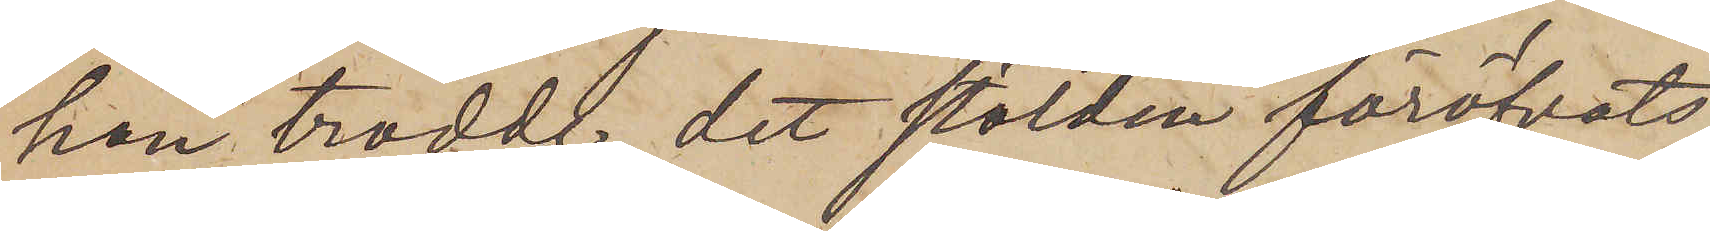han trodde, det stölden föröfvats
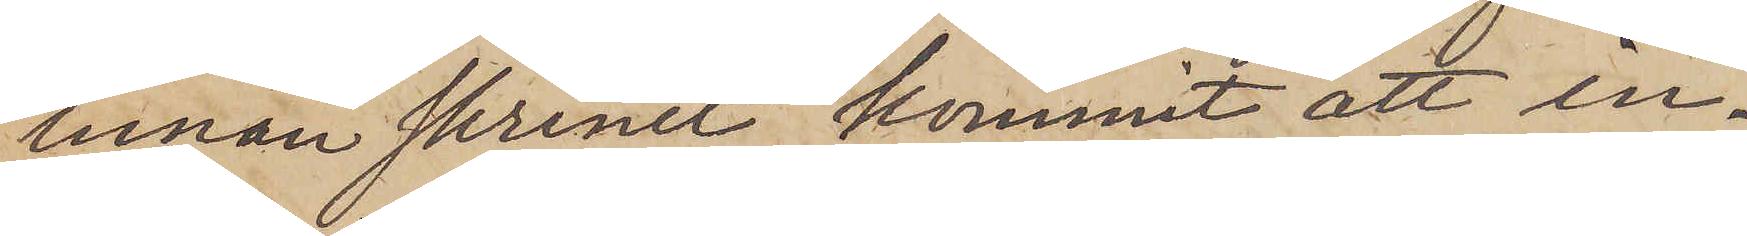innan skrinet kommit att in¬
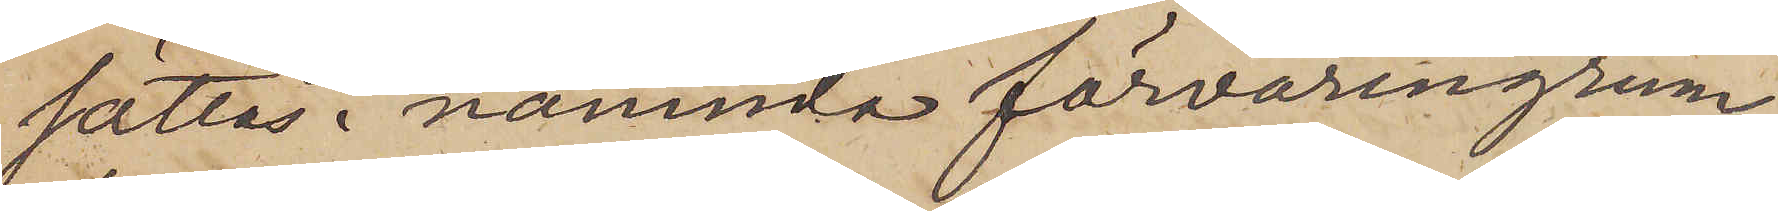sättas i nämnda förvaringsrum;
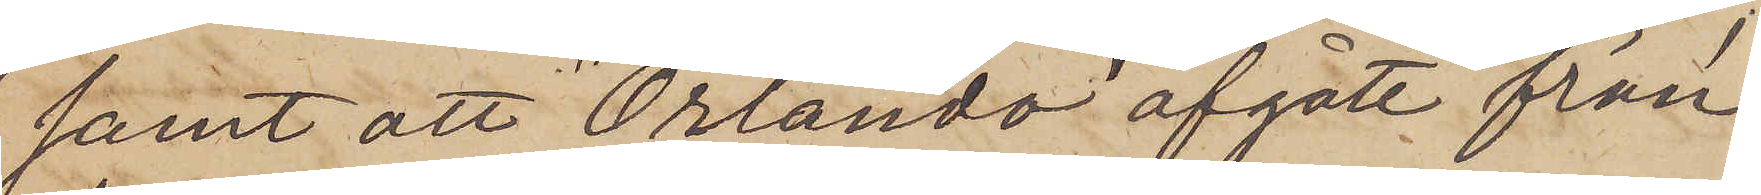samt att "Orlando" afgått från
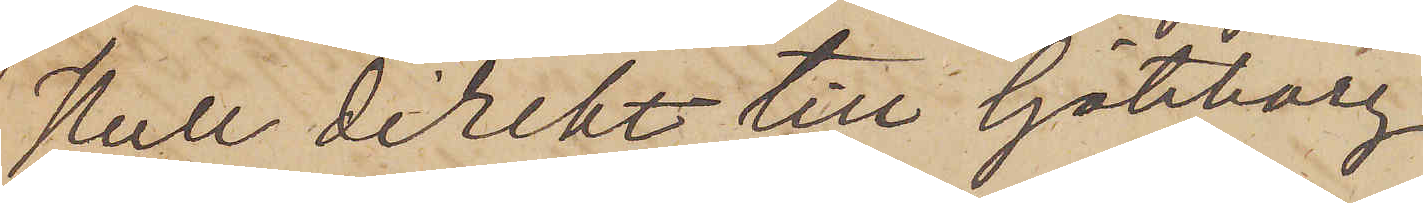Hull direkt till Göteborg.
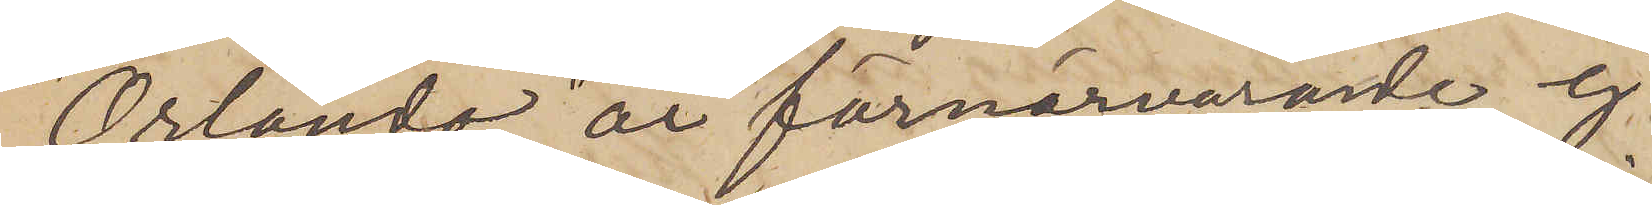"Orlando" är förnärvarande ej
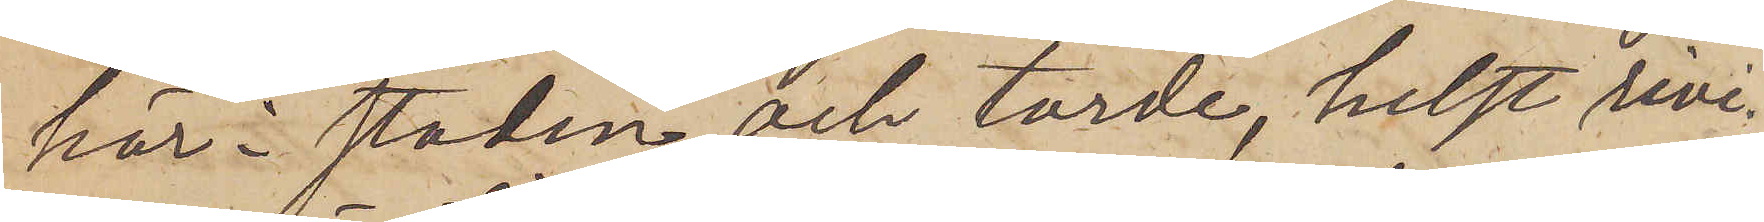här i staden och torde, helst rivi¬
